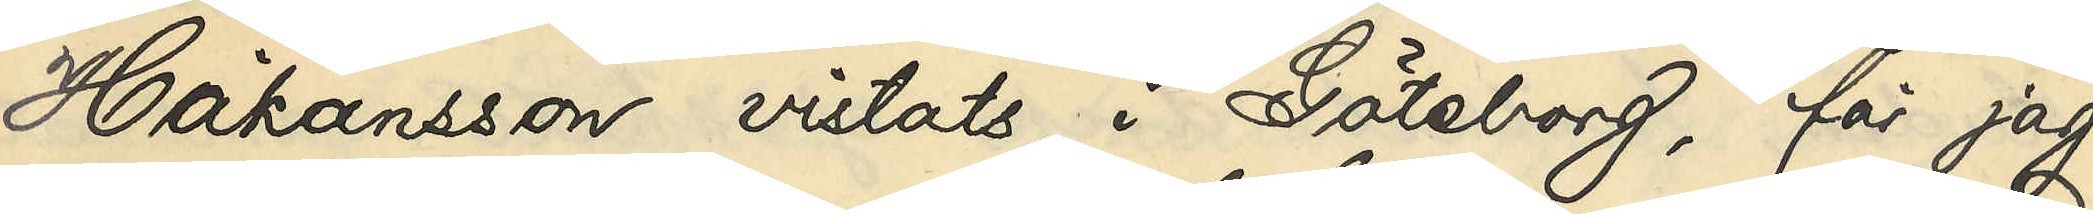Håkansson vistats i Göteborg, får jag,
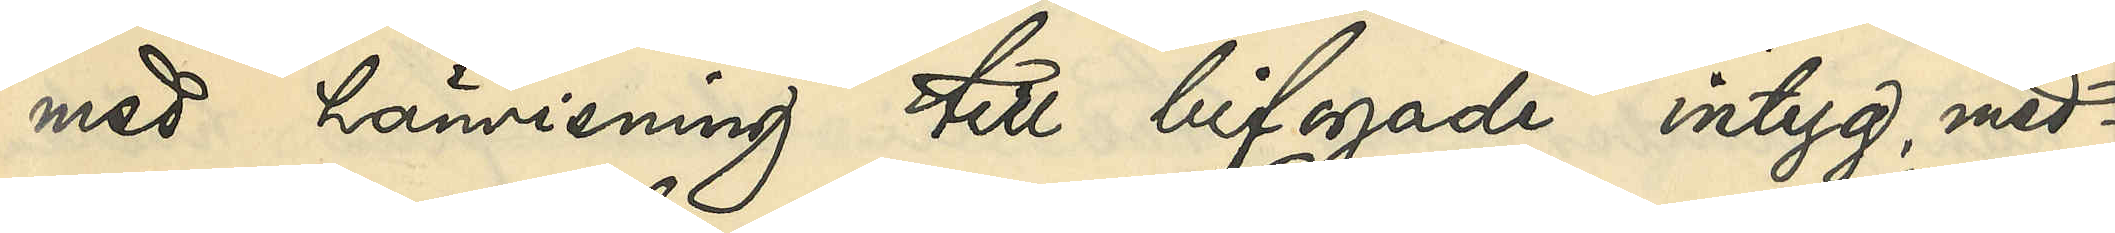med hänvisning till bifogade intyg med¬
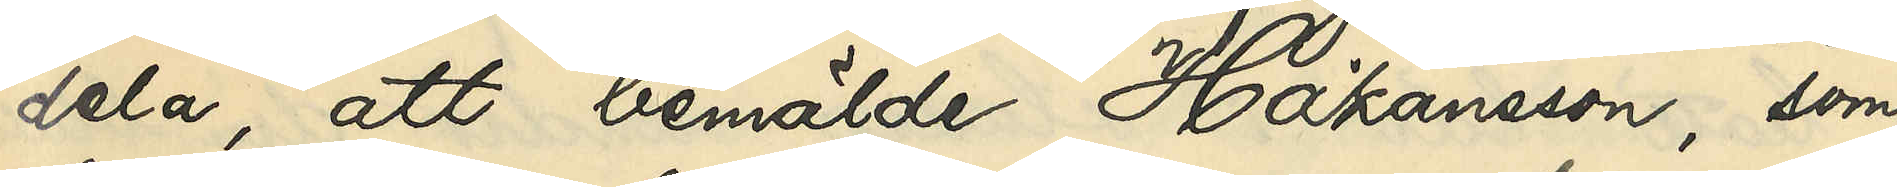dela, att bemälde Håkansson, som
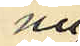nu
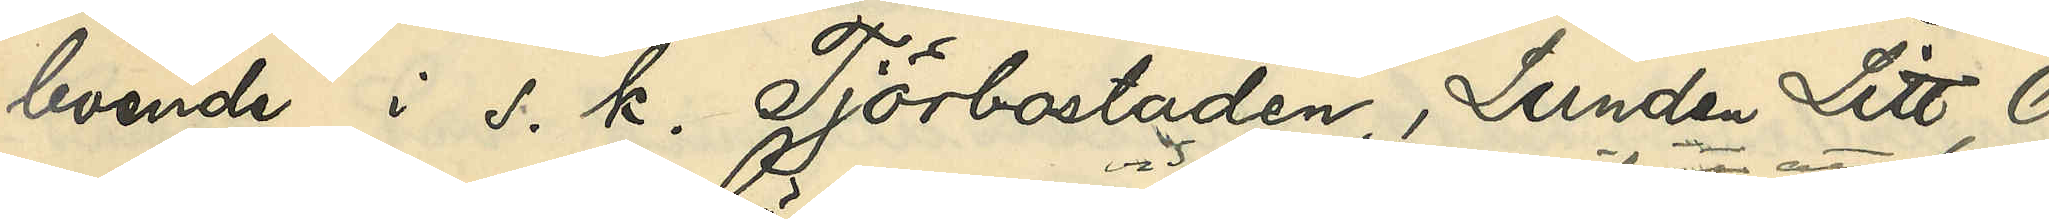boende i s. k. Tjörbostaden, Lunden Litt O
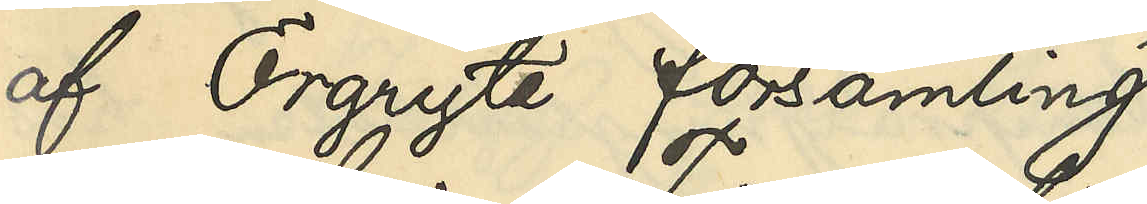af Örgryte församling
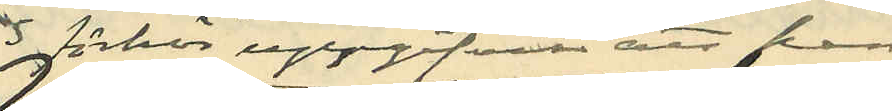vid förhör uppgifvit att han
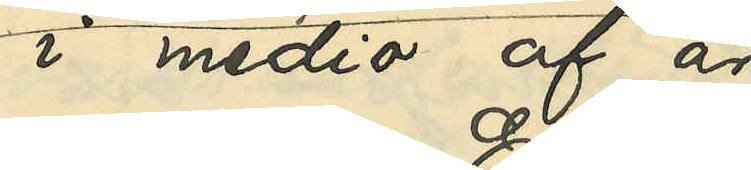i medio af år
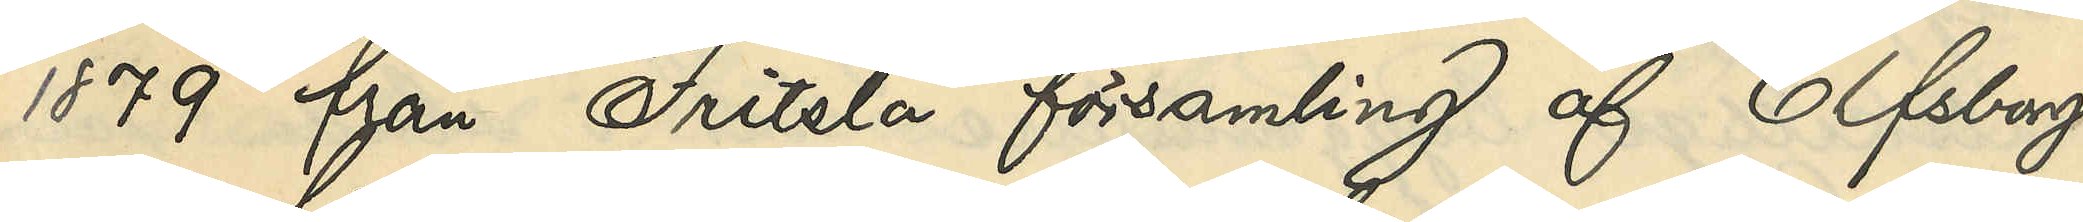1879 från Fritsla församling af Elfsborgs
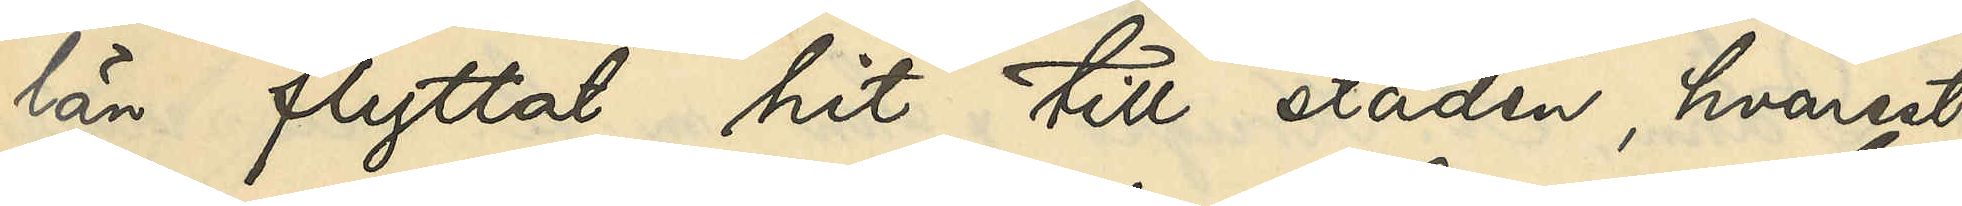län flyttat hit till staden, hvarest
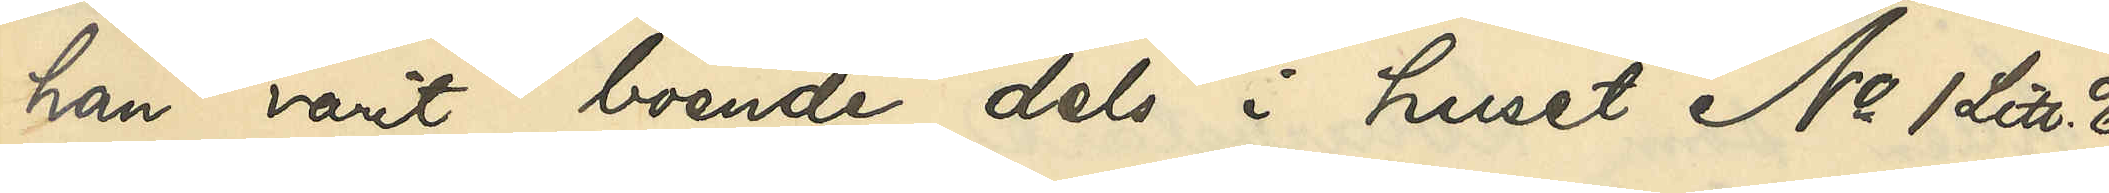han varit boende dels i huset No 1 Litt. E
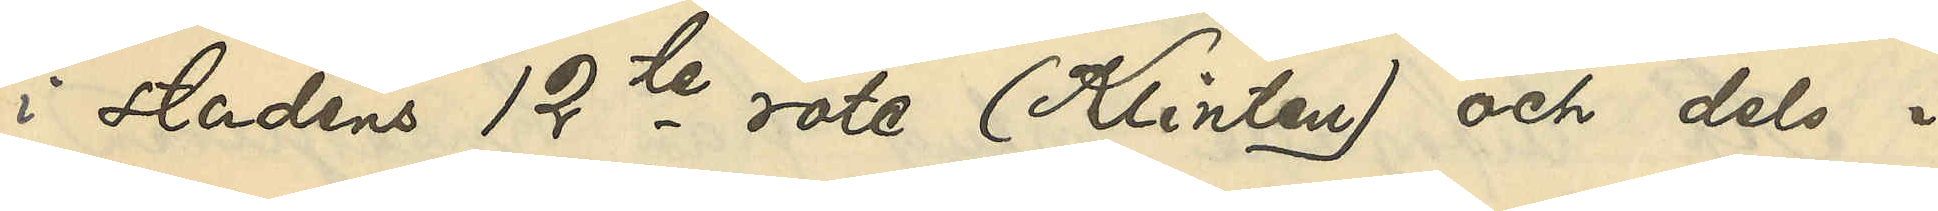i Stadens 12te rote (Klinten) och dels i
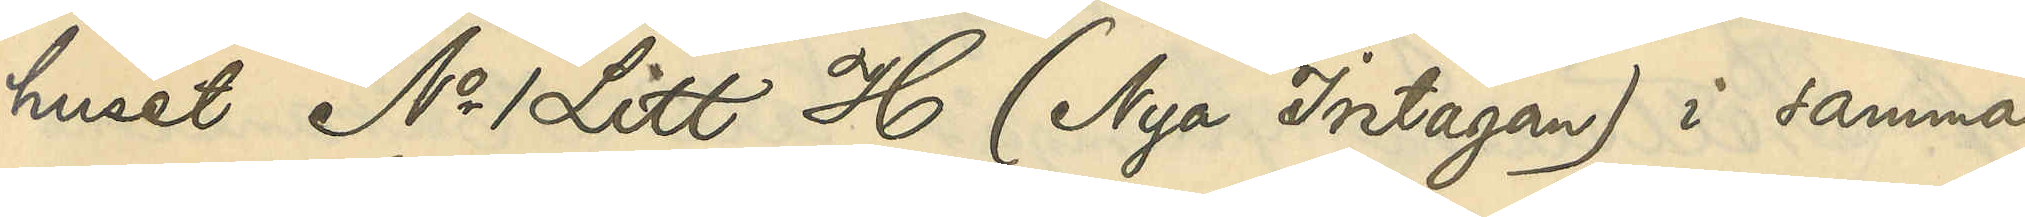huset No 1 Litt H. (Nya Intagan) i samma
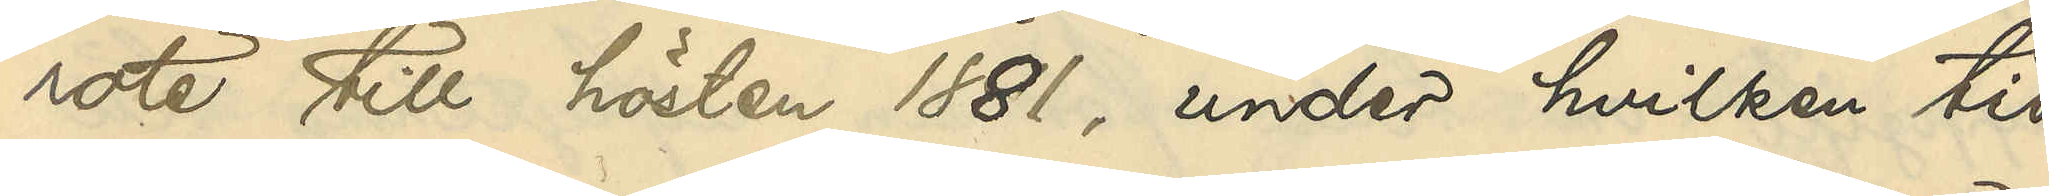rote till hösten 1881, under hvilken tid
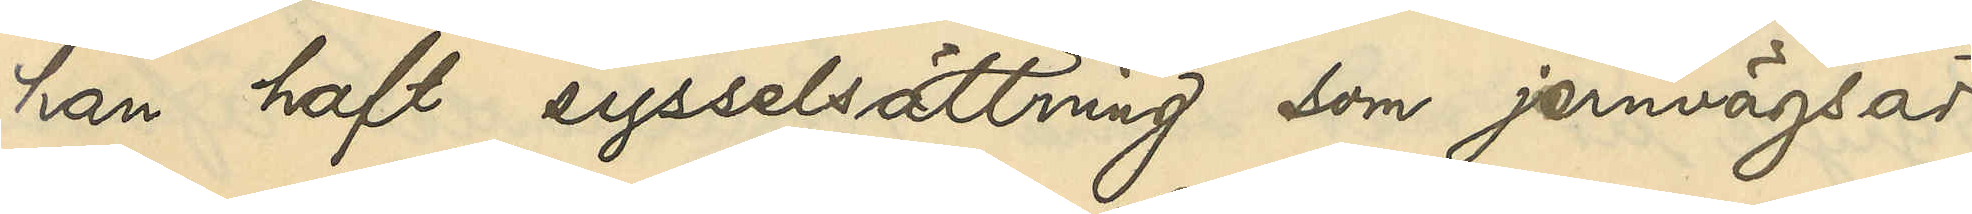han haft sysselsättning, som jernvägsar¬
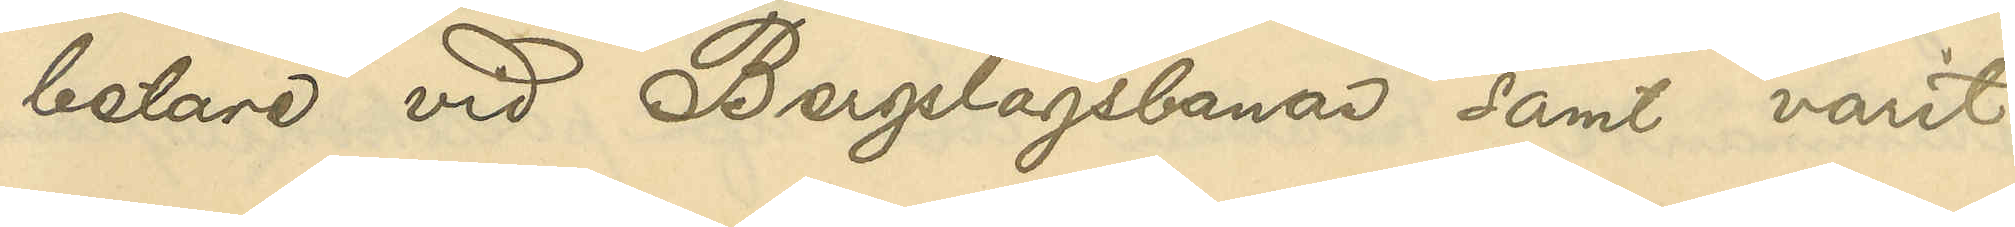betare vid Bergslagsbanan samt varit
